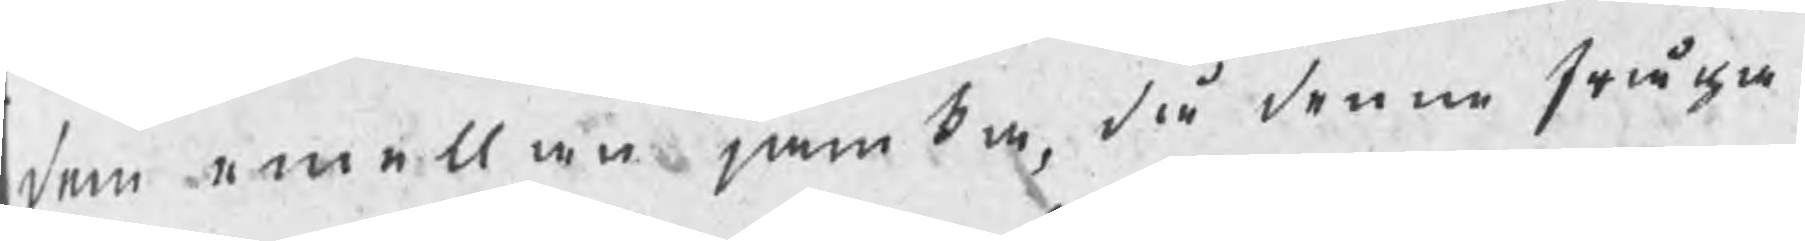dem emellan jämka, då denna fråga
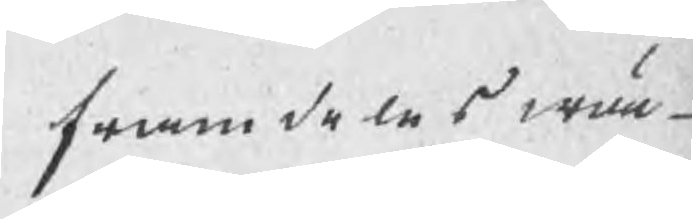framdeles wun¬
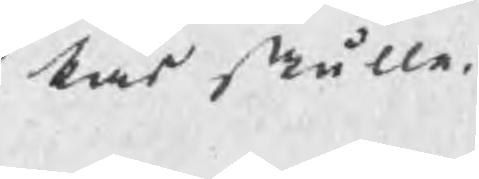kas skulle.
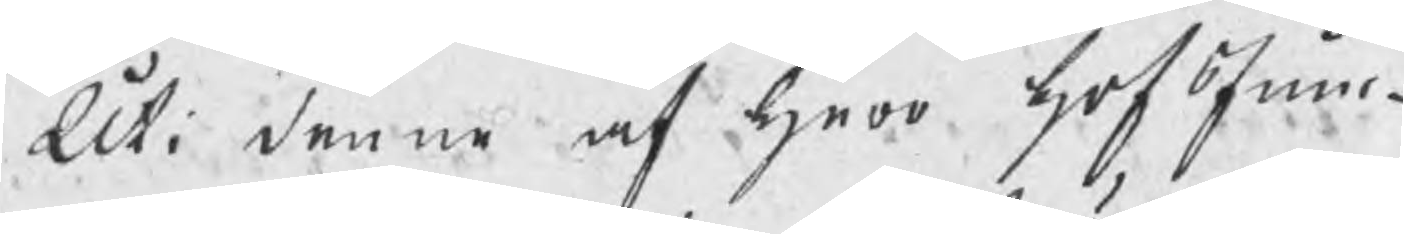Uti denne af herr hofJunc¬
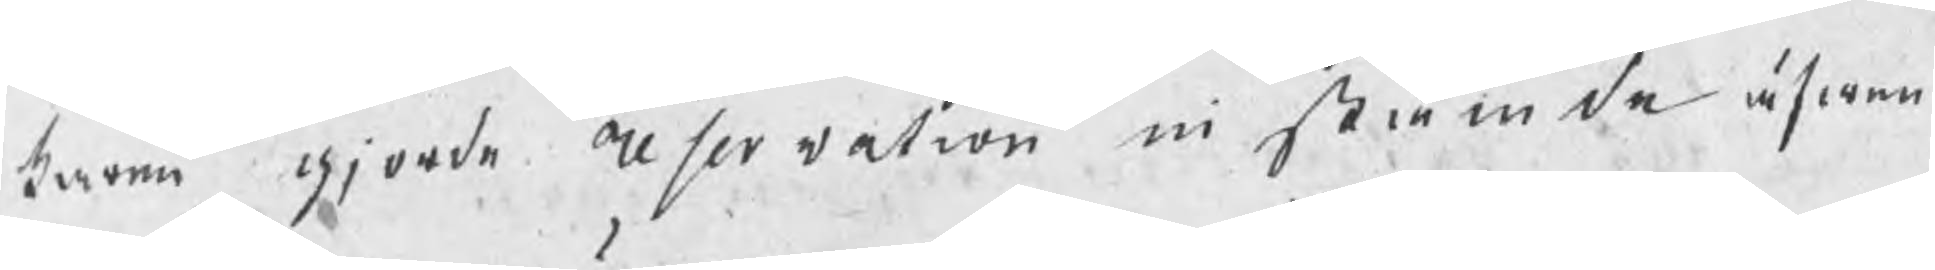karen gjorde reservation instämde äfwen
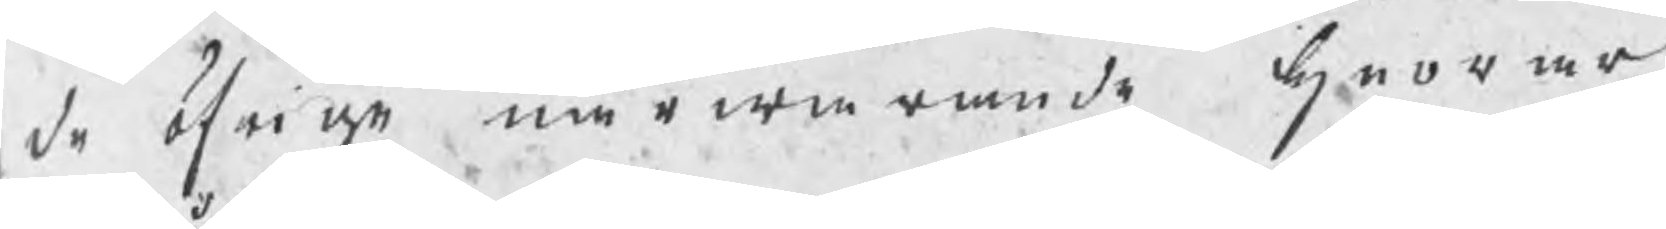de öfrige närwarande herrar
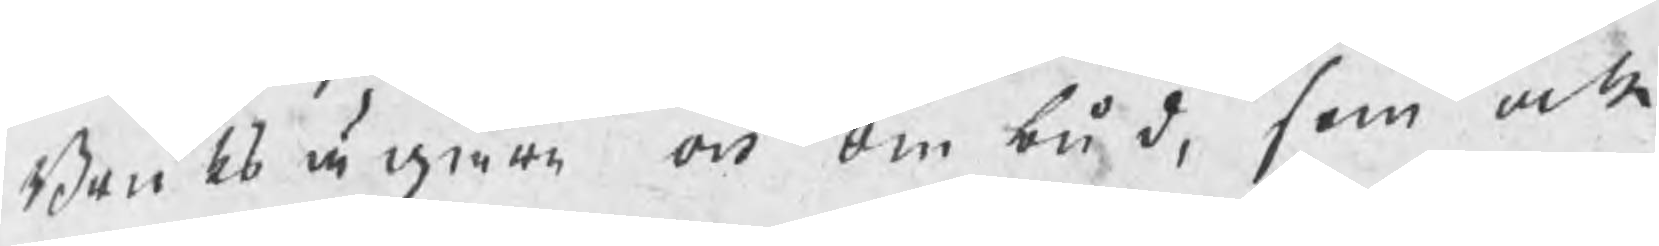Bruksägare och ombud, som ock
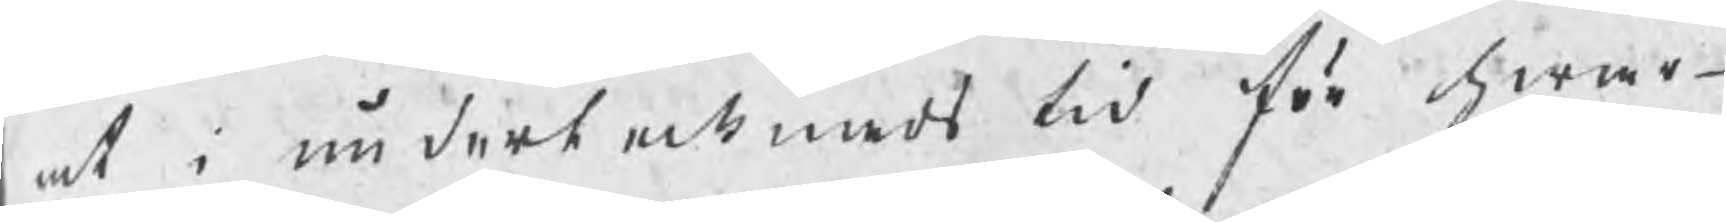at i undertecknads tid för hwar¬
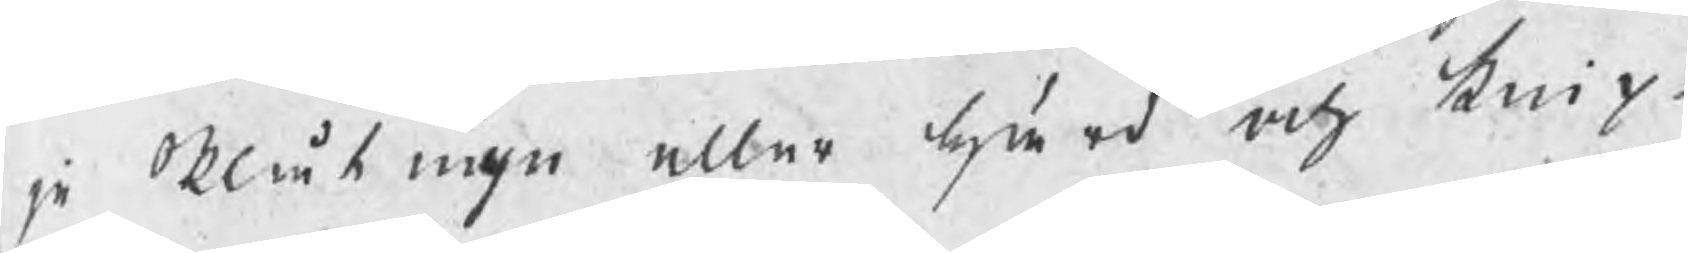je Plåtugn eller härd och knip¬
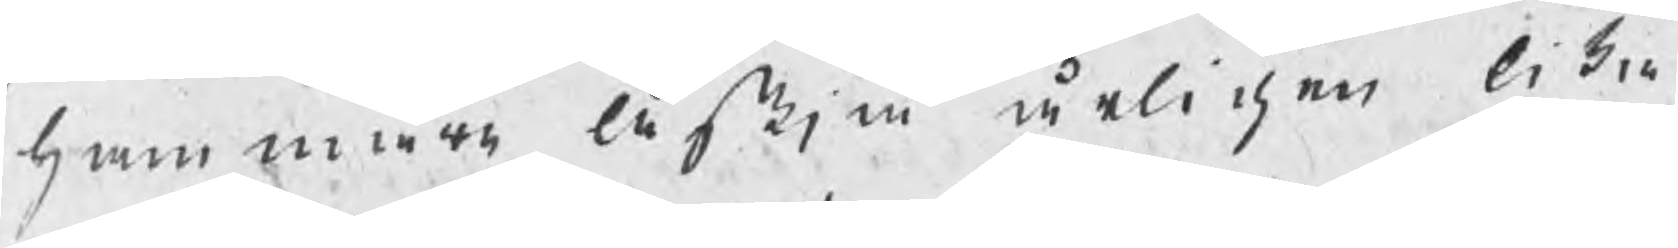hammare äskja årligen lika
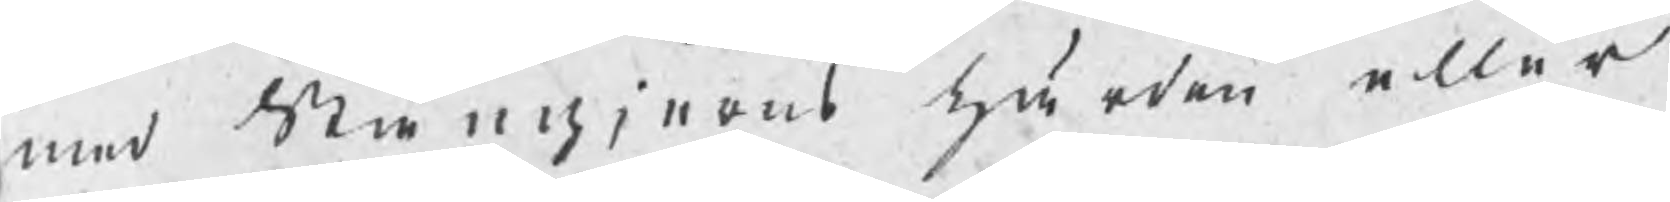med Stångjerns härden eller
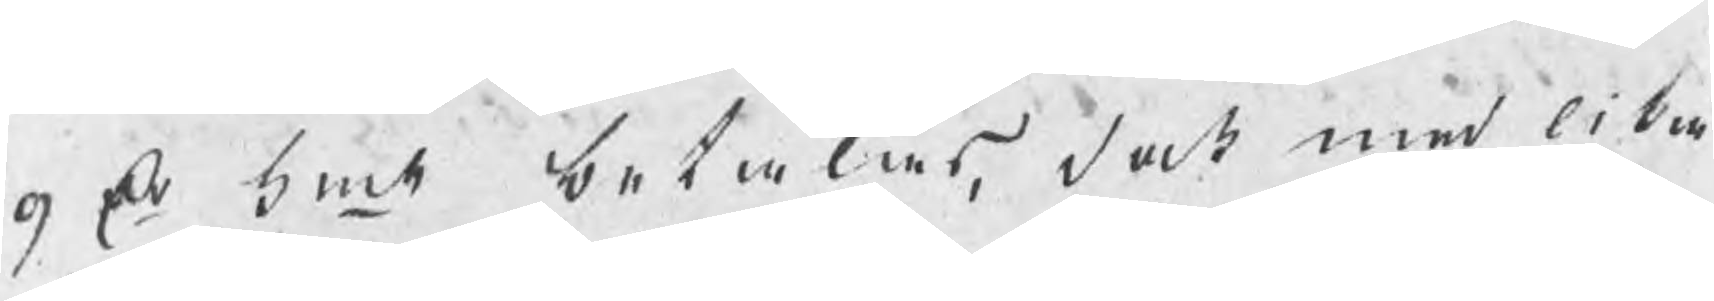9 Dr kmt betalas, dock med lika
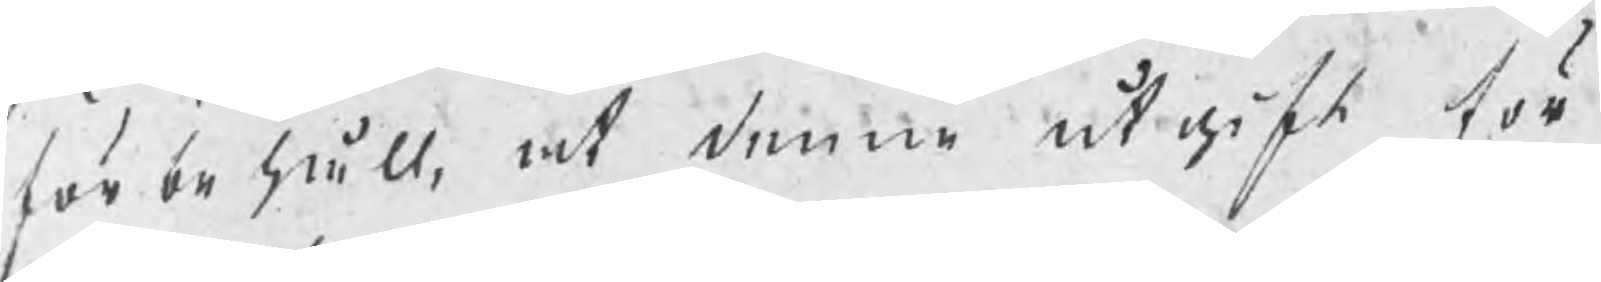förbehåll, at denne utgift för
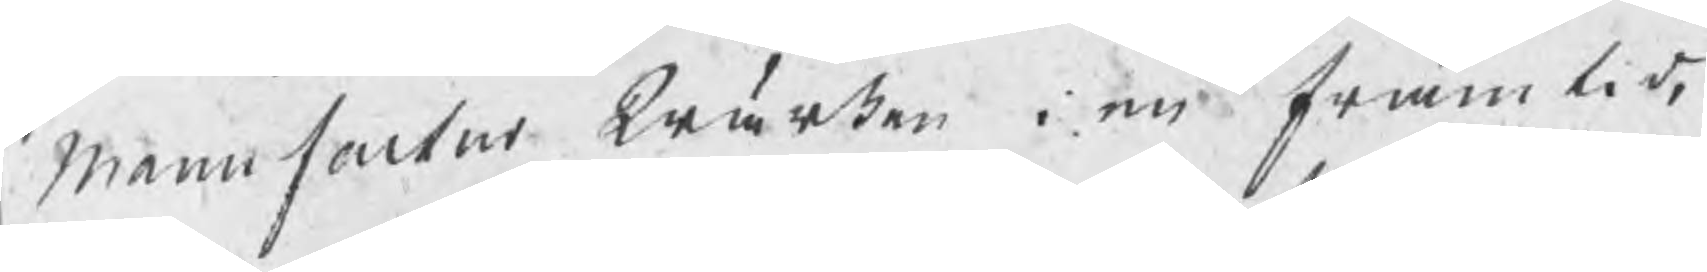manufactur Wärken i en framtid,
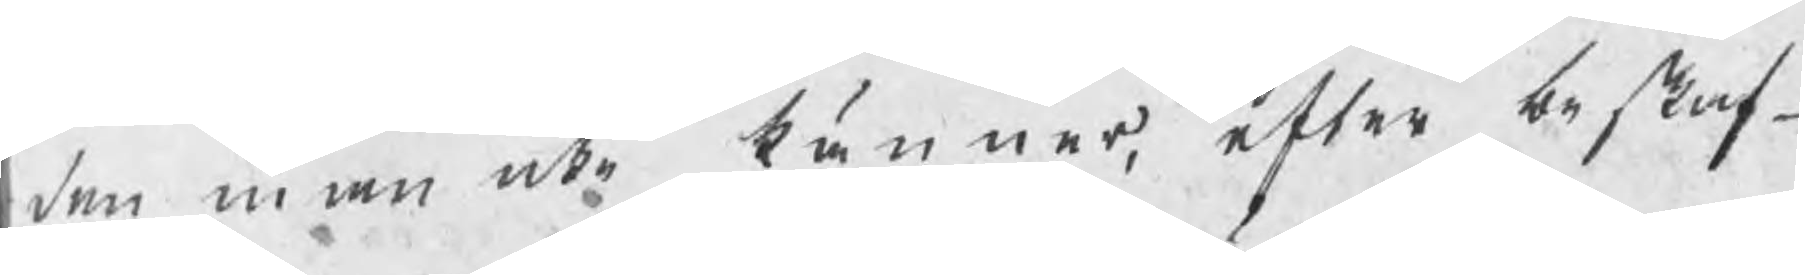den man icke känner, efter beskaf¬
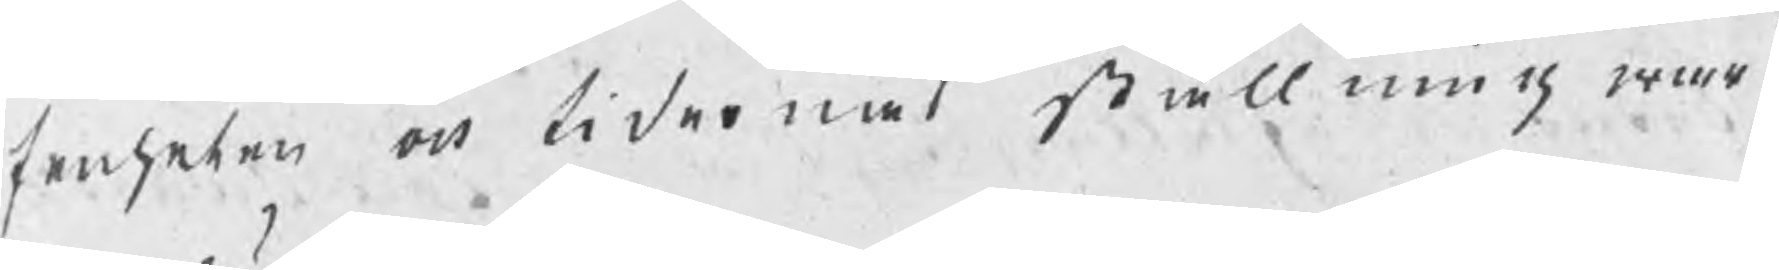fenheten och tidernas ställning war¬
